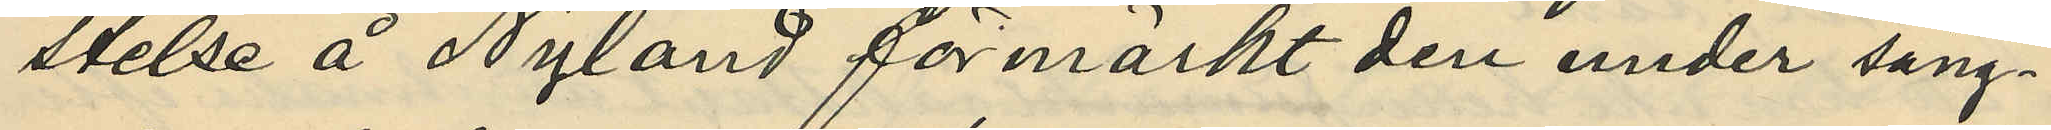stelse å Nyland förmärkt den under säng¬
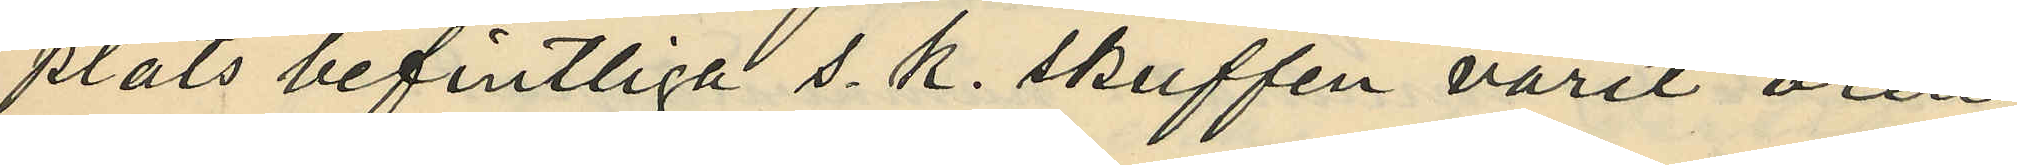plats befintliga s. k. skuffen varit oren
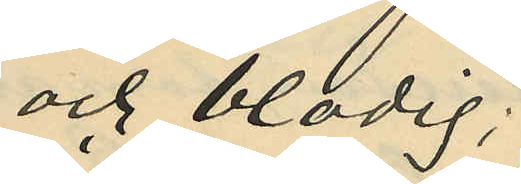och blodig;
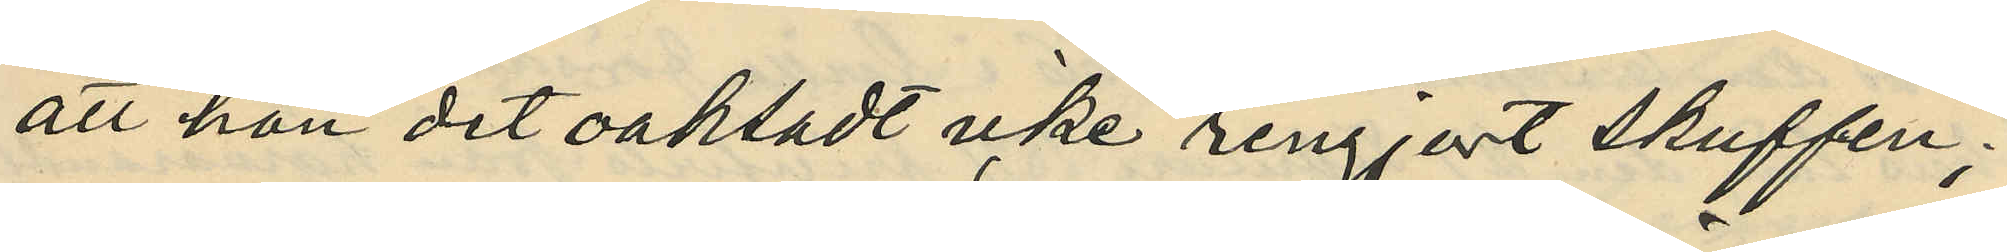att hon det oaktadt icke rengjort skuffen;
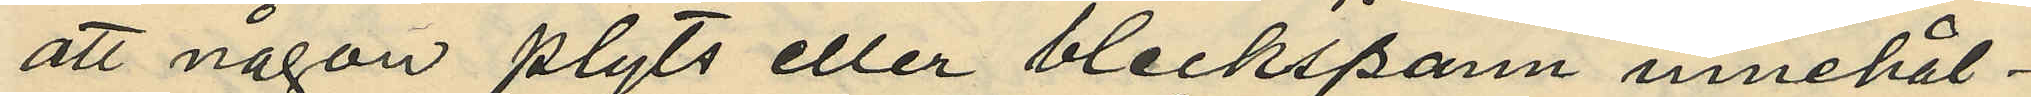att någon plyts eller bleckspann innehål¬
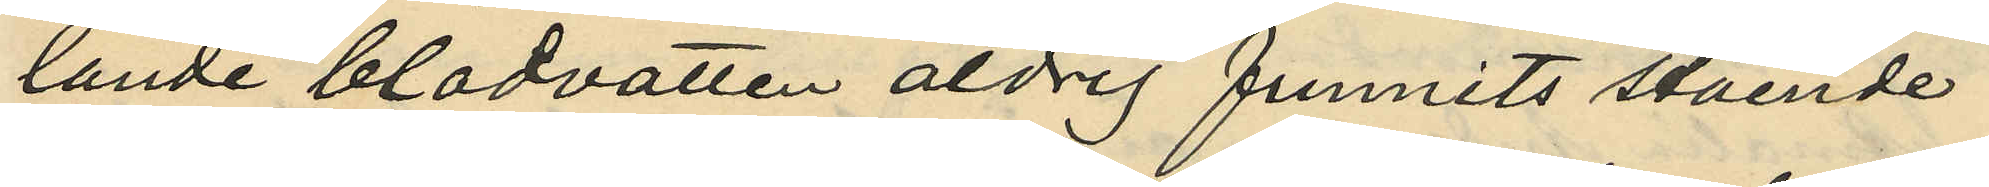lande blodvatten aldrig funnits stående
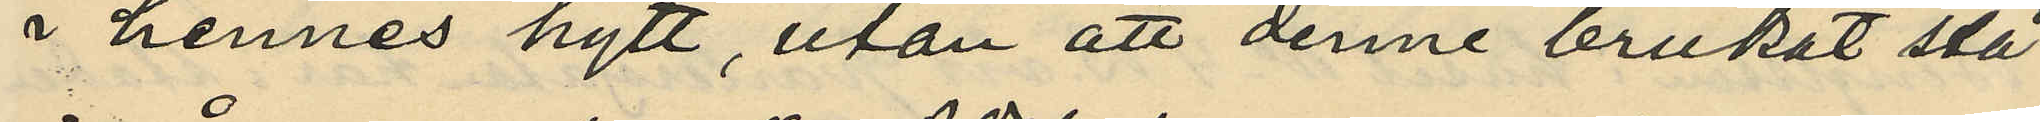i hennes hytt, utan att denne brukat stå
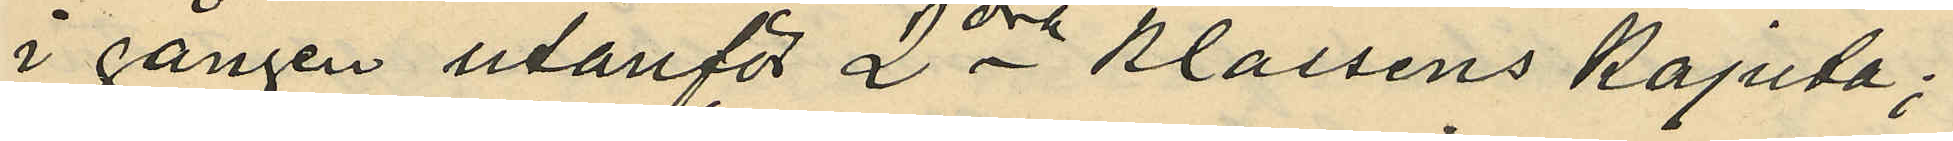i gången utanför 2dra klassens kajuta;
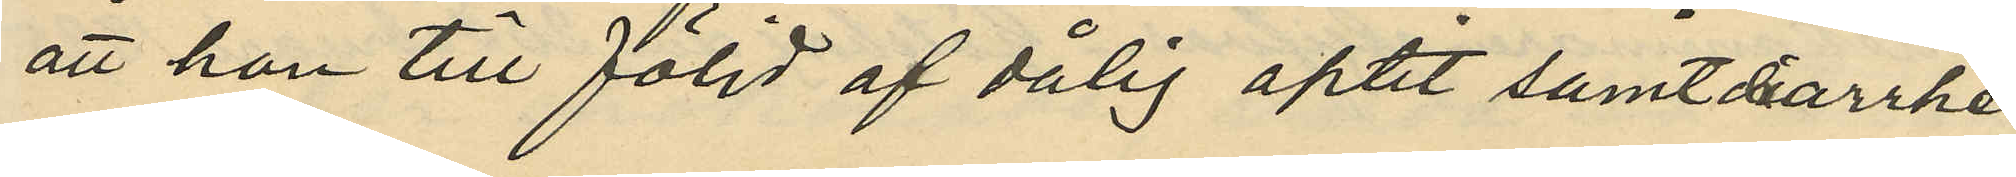att hon till följd af dålig aptit samt diarrhé
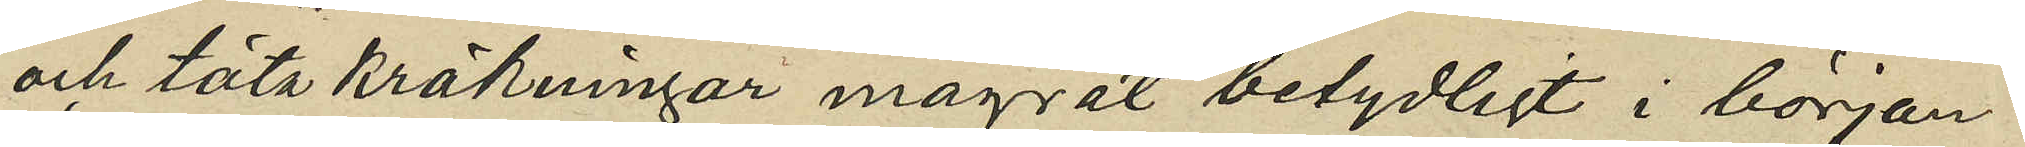och täta kräkningar magrat betydligt i början
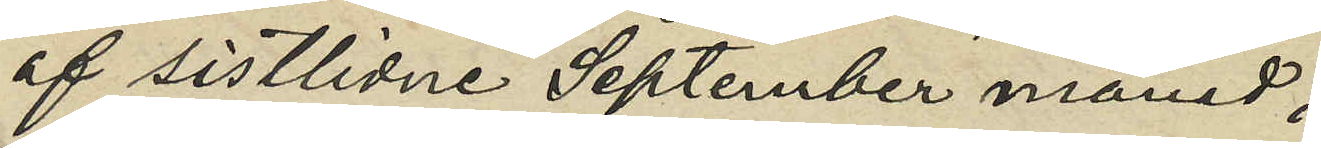af sistlidne September månad;
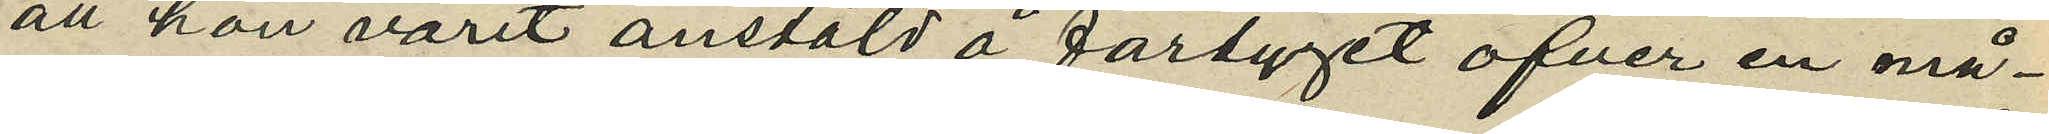att hon varit anstäld å fartyget öfver en må¬
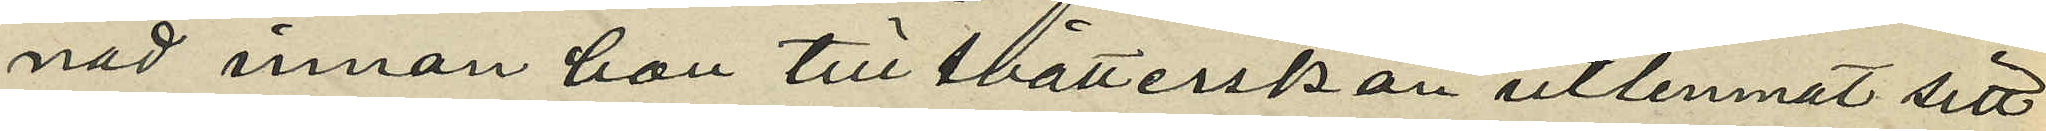nad innan hon till tvätterskan utlemnat sitt
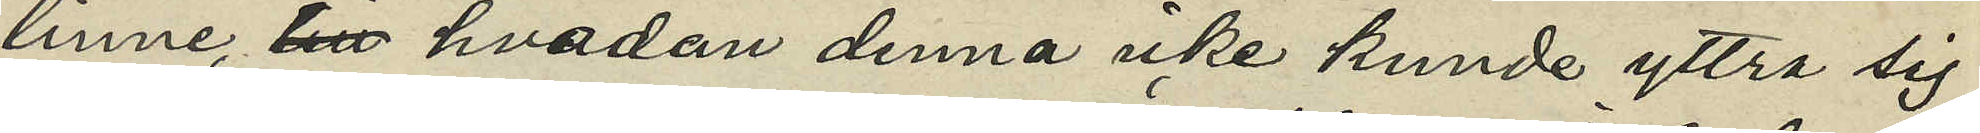linne, till hvadan denna icke kunde yttra sig
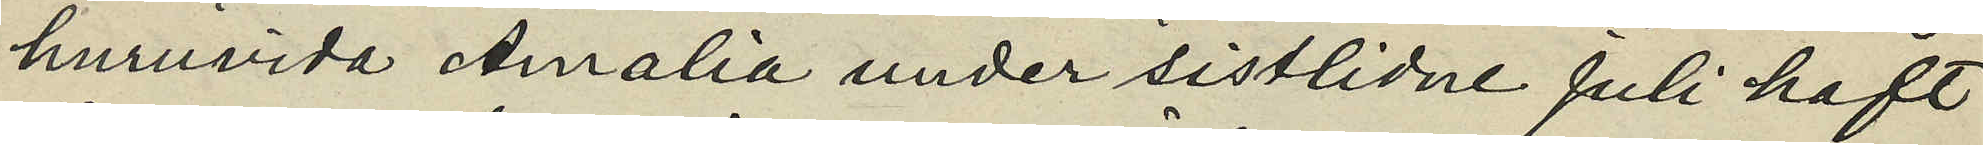huruvida Amalia under sistlidne Juli haft
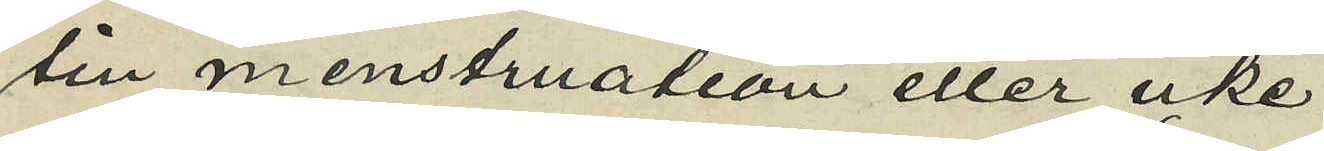sin menstruation eller icke;
